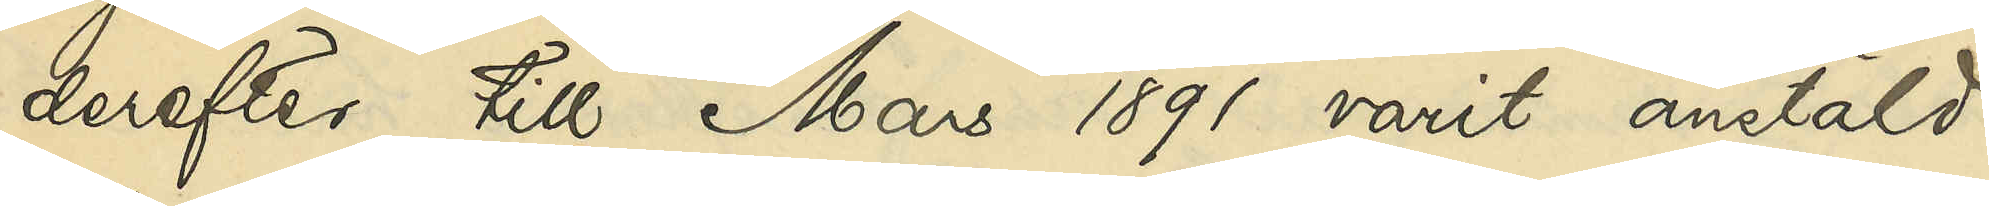derefter till Mars 1891 varit anstäld
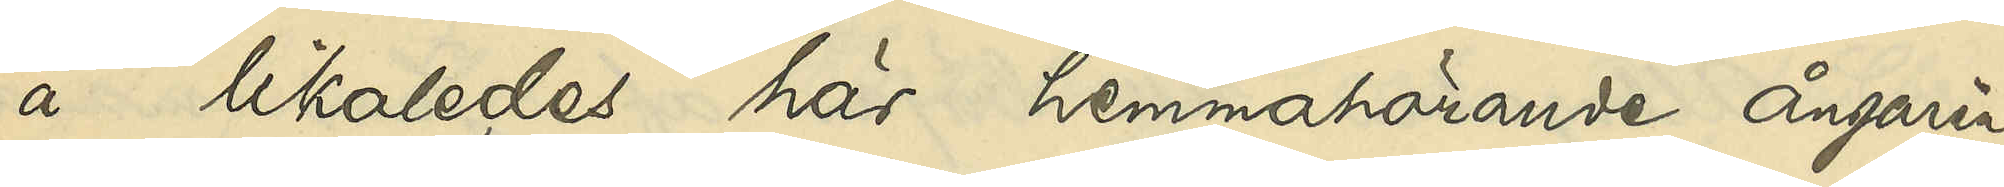å likaledes här hemmahörande ångaren
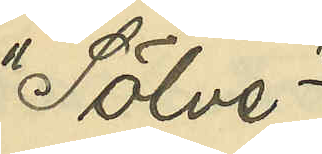"Sölve";
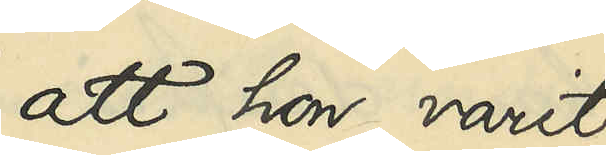att hon varit
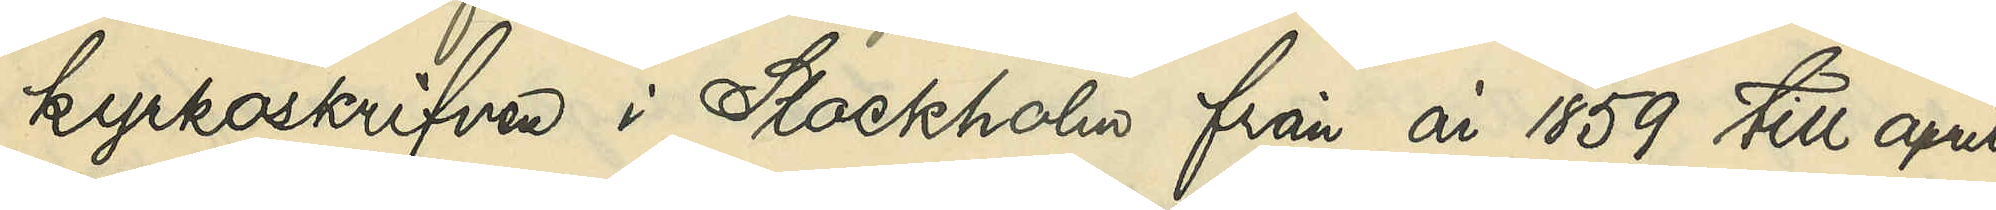kyrkoskrifven i Stockholm från år 1859 till april
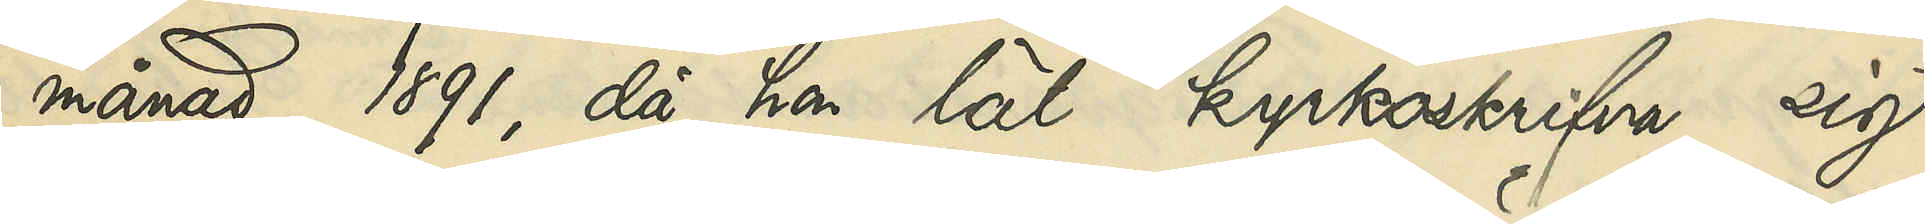månad 1891, då hon lät kyrkoskrifva sig
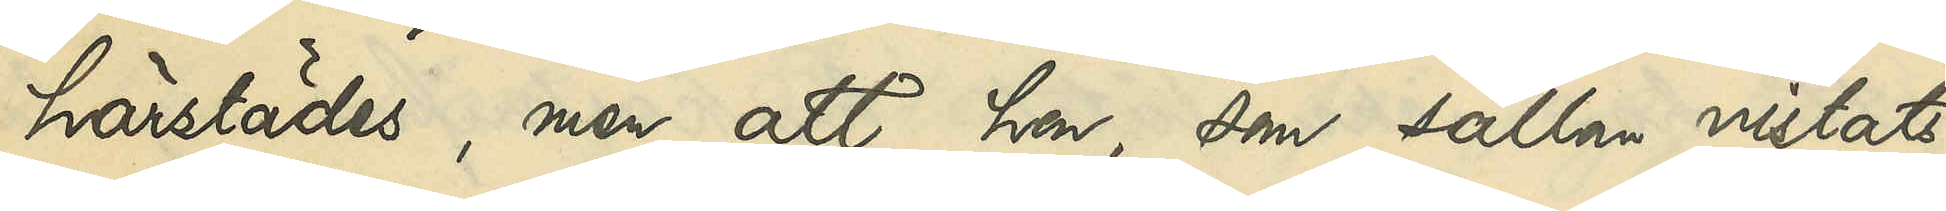härstädes, men att hon, som sällan vistats
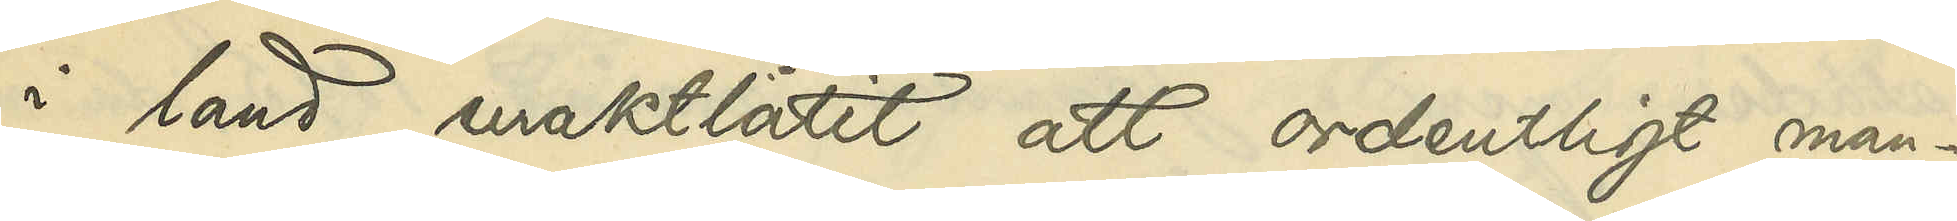i land uraktlåtit att ordentligt man¬
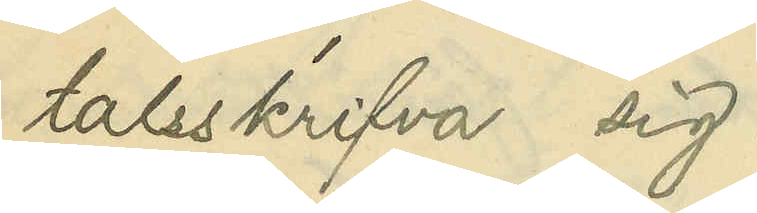talsskrifva sig
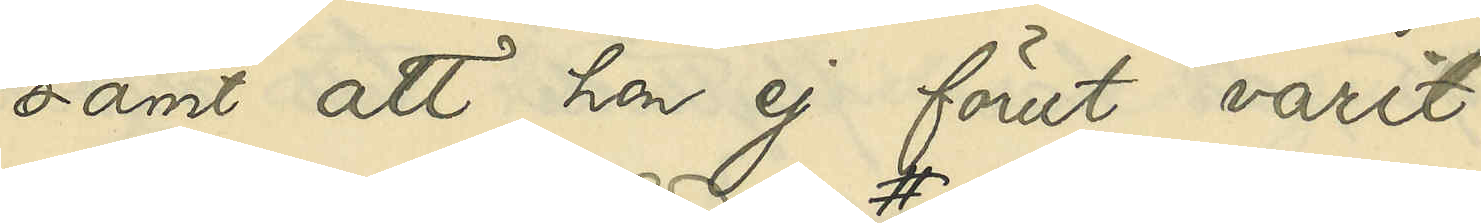samt att hon ej förut varit
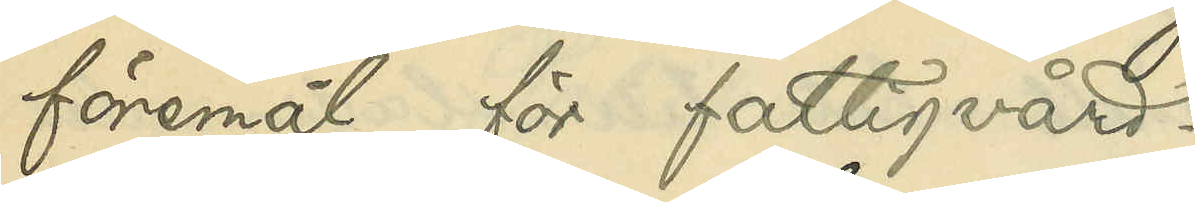föremål för fattigvård;
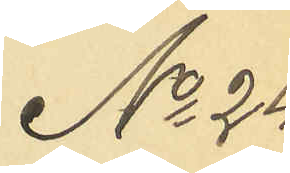No 24
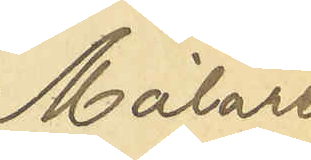Målare
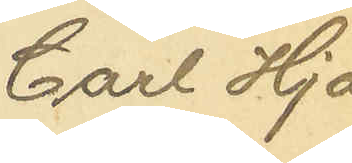Carl Hja¬
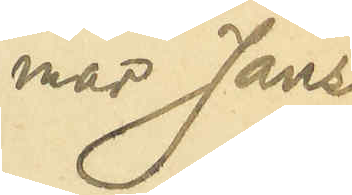mar Janss
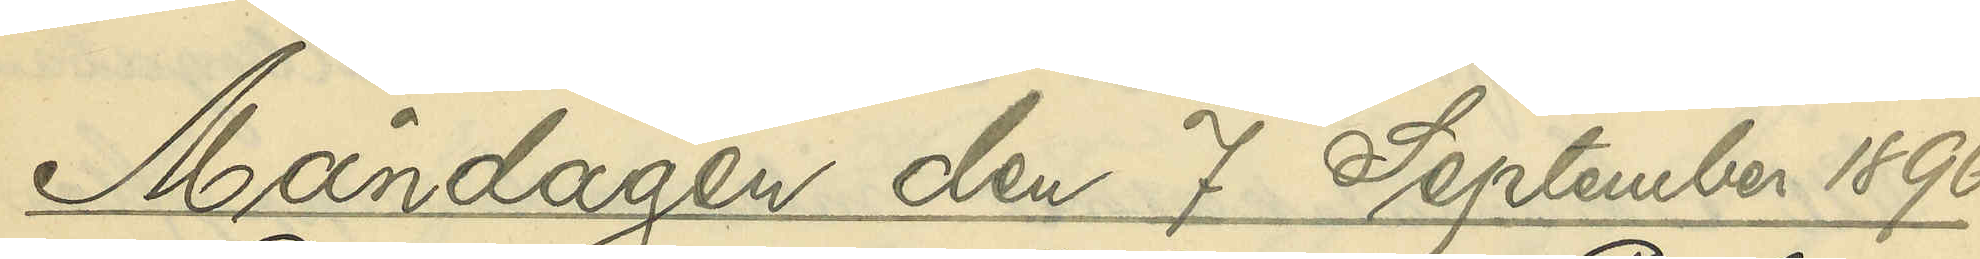Måndagen den 7 September 1896.
